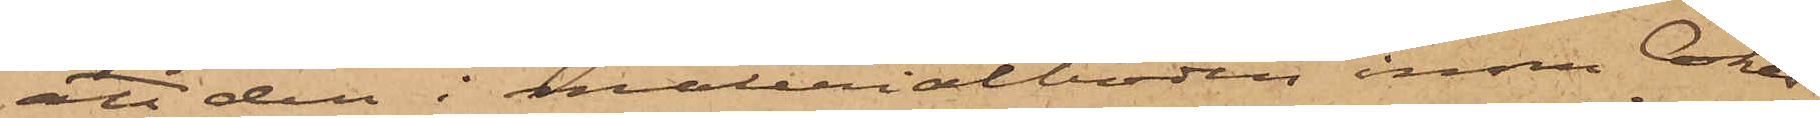att den i materialboden inom Cokes¬
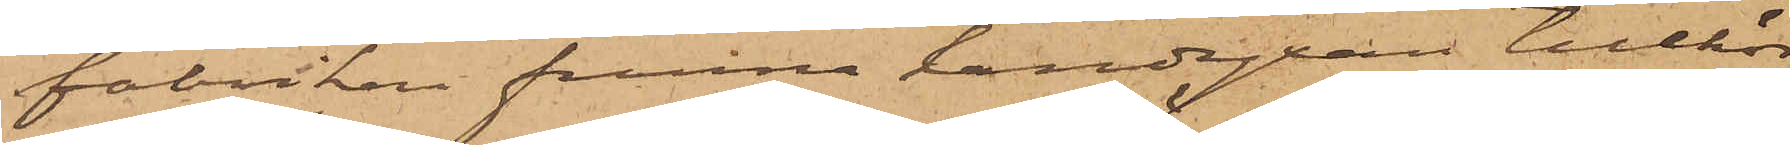fabriken funna handyxan tillhör
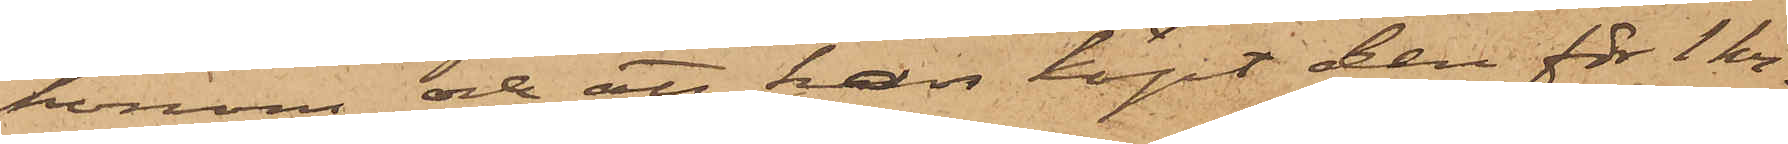honom och att han köpt den för 1 kr.
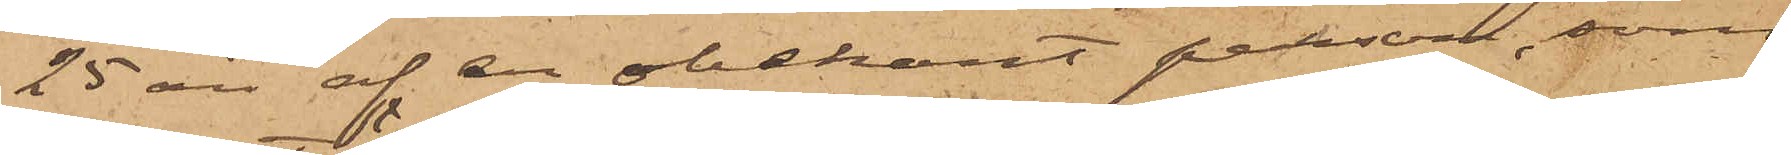25 öre af en obekant person, som
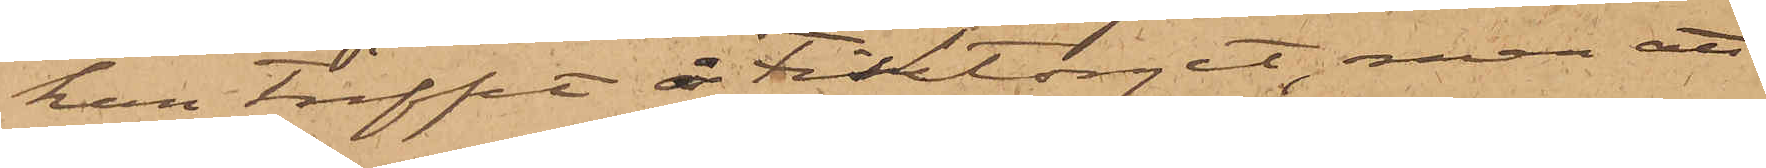han träffat å Fisktorget, men att
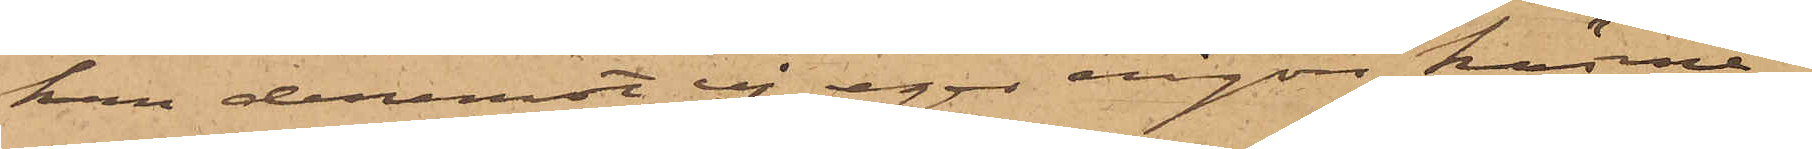han deremot ej eger någon känne¬
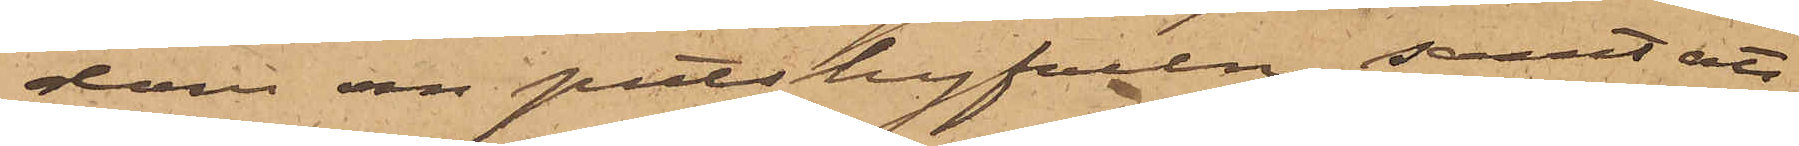dom om putshyfveln; samt att
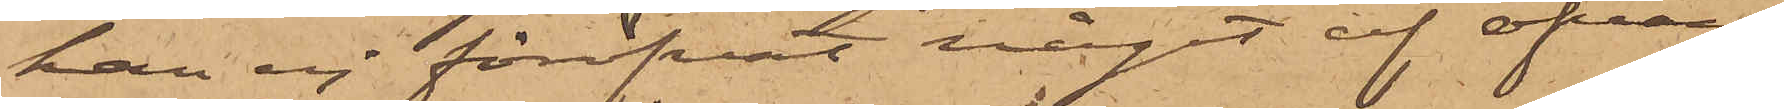han ej föröfvat något af ofvan¬
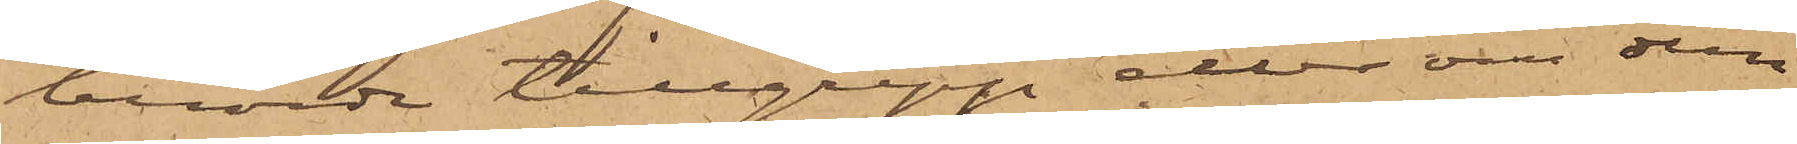berörde tillgrepp eller om dessa
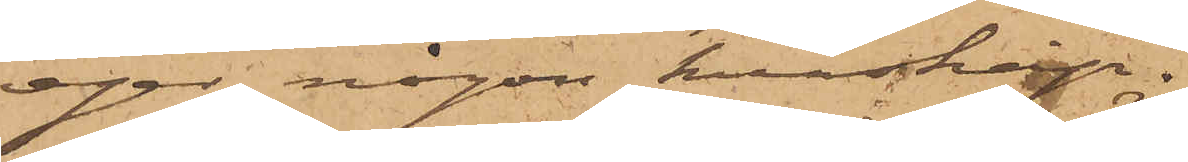eger någon kunskap.
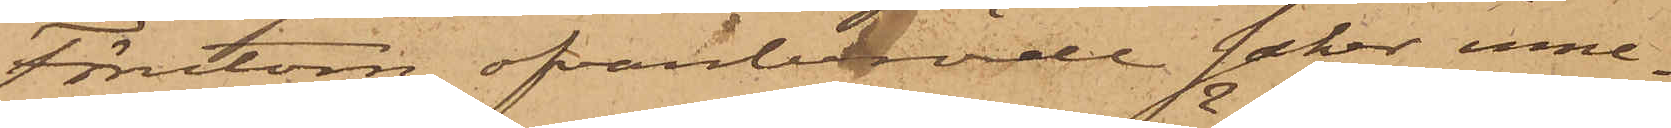Förutom ofvanberörde saker inne¬
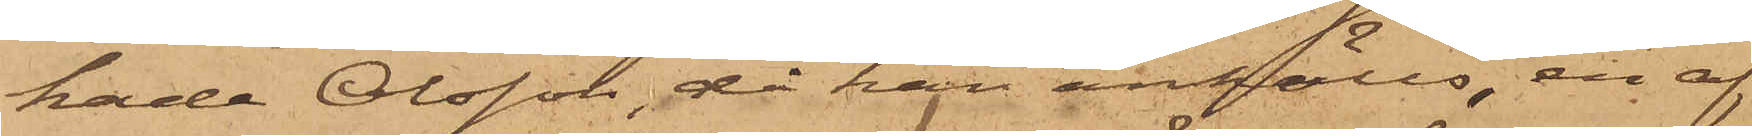hade Olsson, då han anhölls, en af
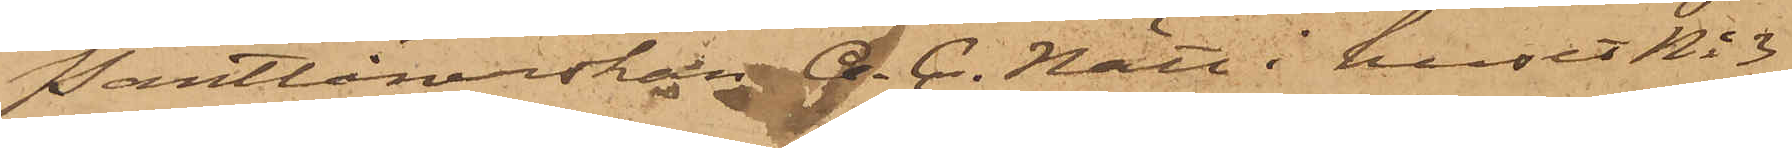Pantlånerskan A. C. Nätt i huset No 3
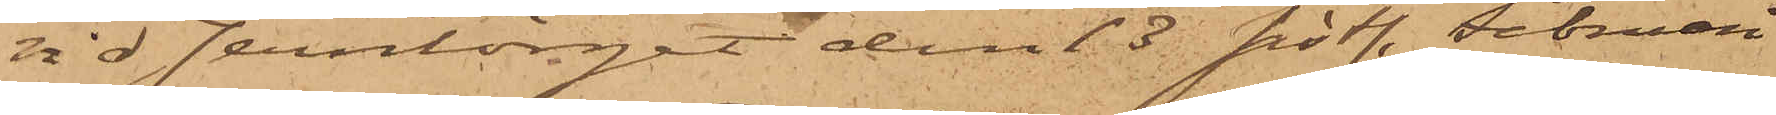vid Jerntorget den 13 sistl. Februari
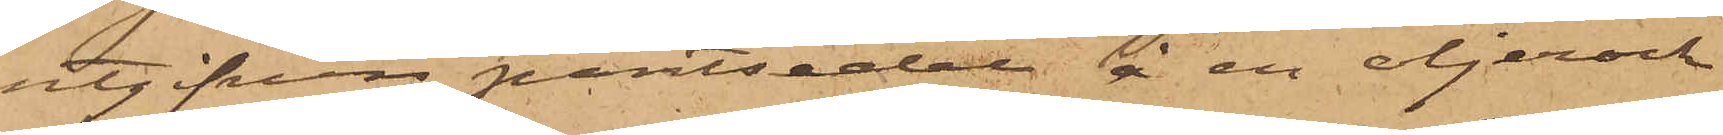utgifven pantsedel å en oljerock
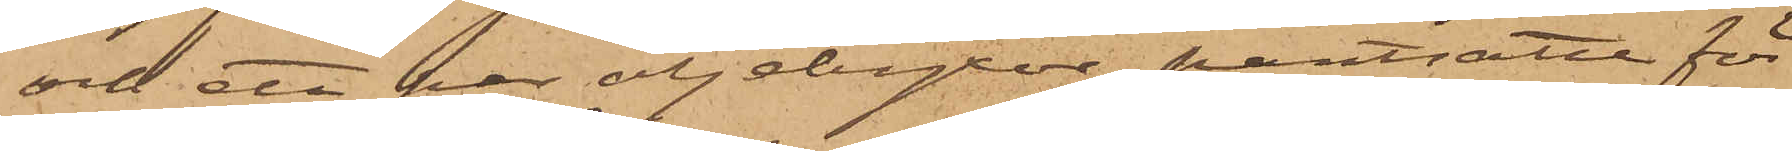och ett par oljebyxor pantsatte för
